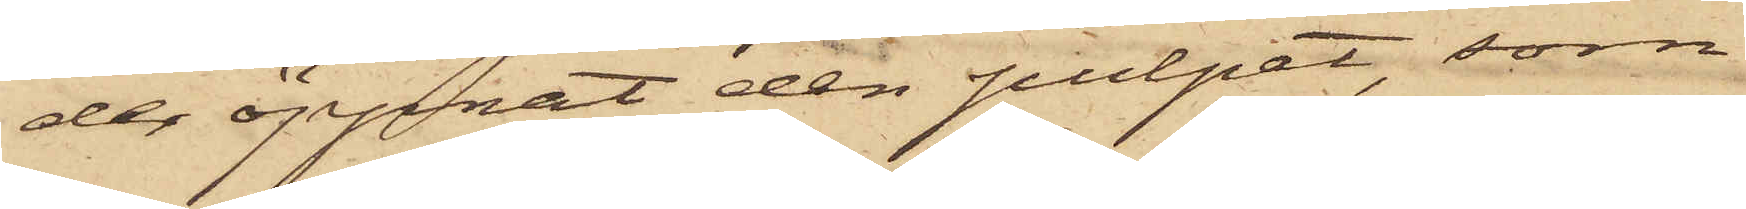der öppnat den pulpet, som
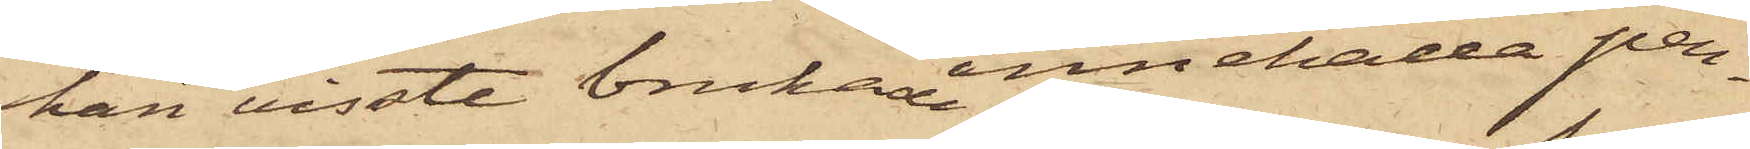han visste bruka innehålla pen¬
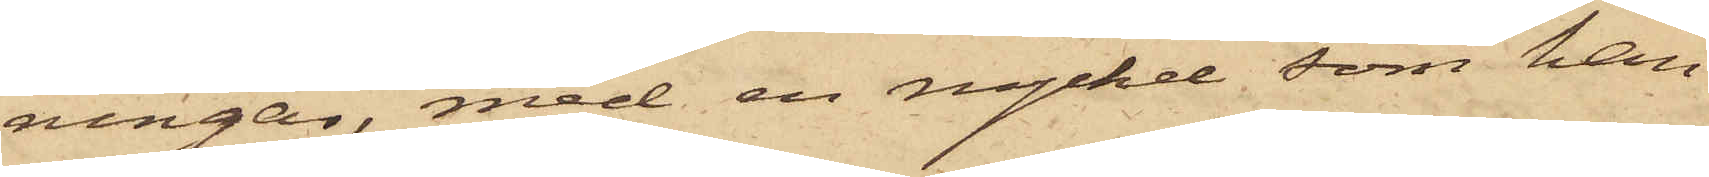ningar, med en nyckel, som han
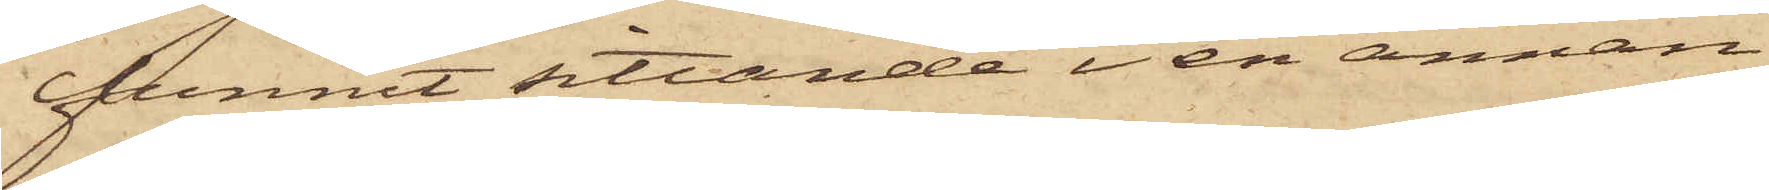funnit sittande i en annan
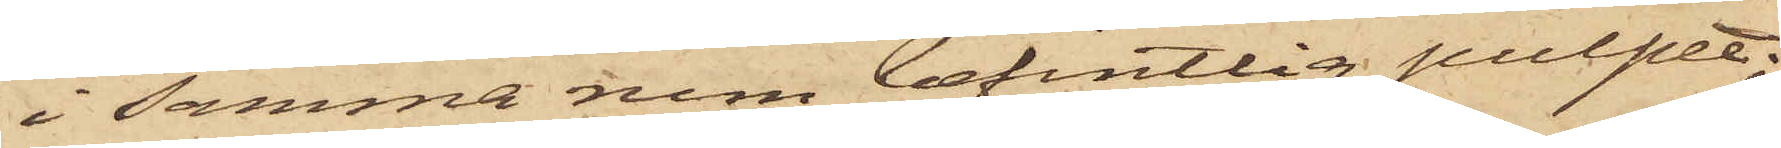i samma rum befintlig pulpet;
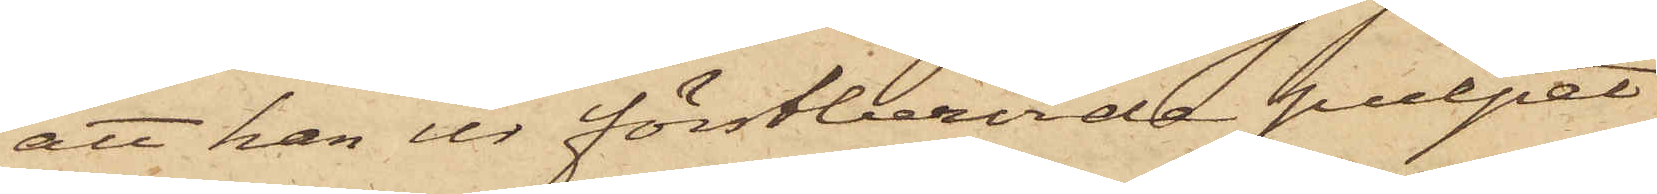att han ur förstberörde pulpet
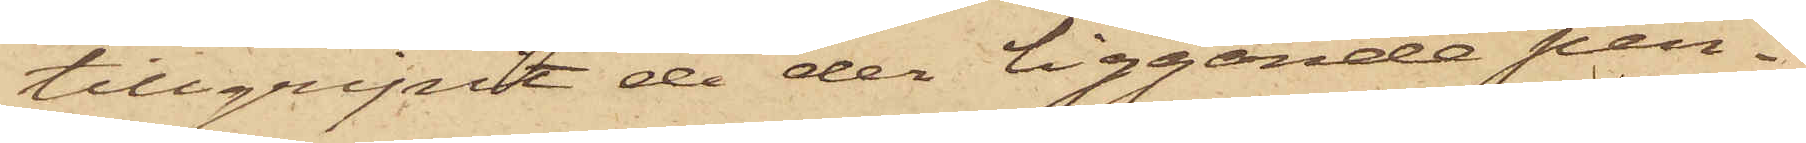tillgripit de der liggande pen¬
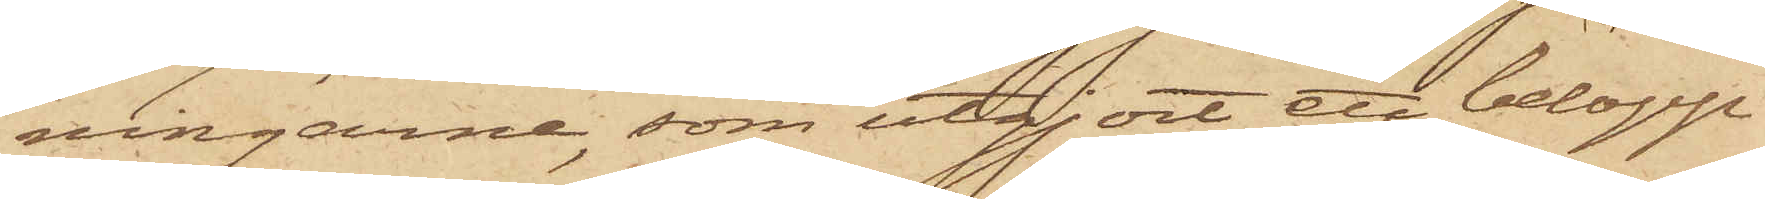ningarne, som utgjort ett belopp
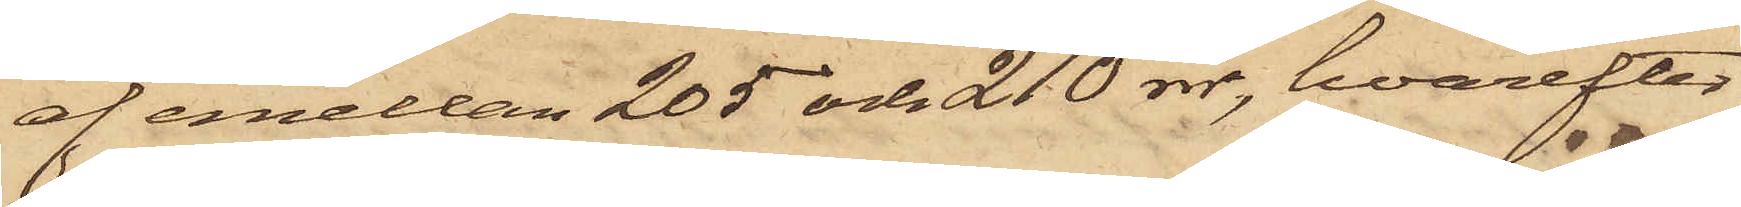af emellan 205 och 210 rdr, hvarefter
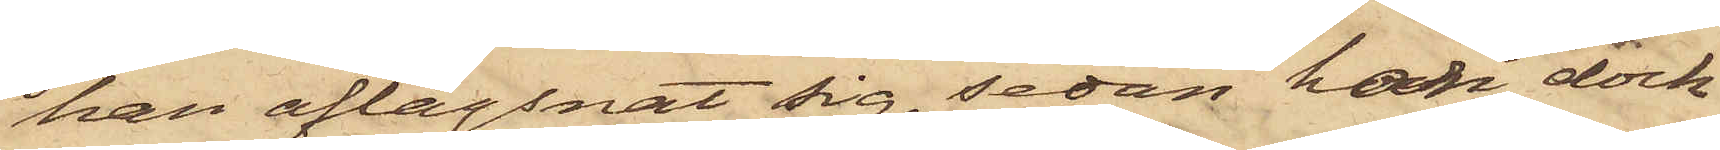han aflägsnat sig, sedan han dock
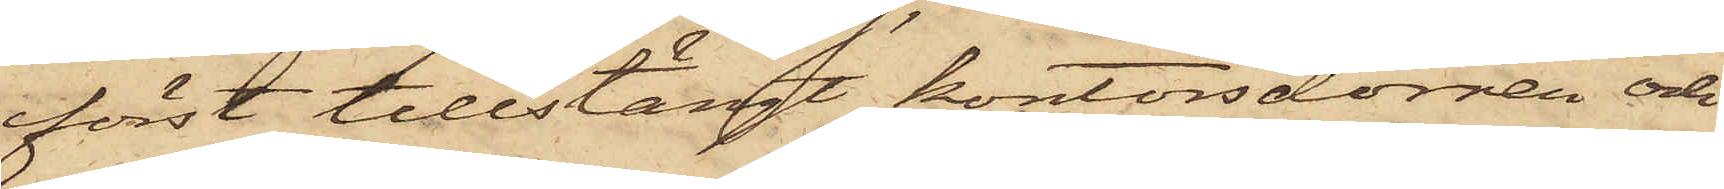först tillstängt kontorsdörren och
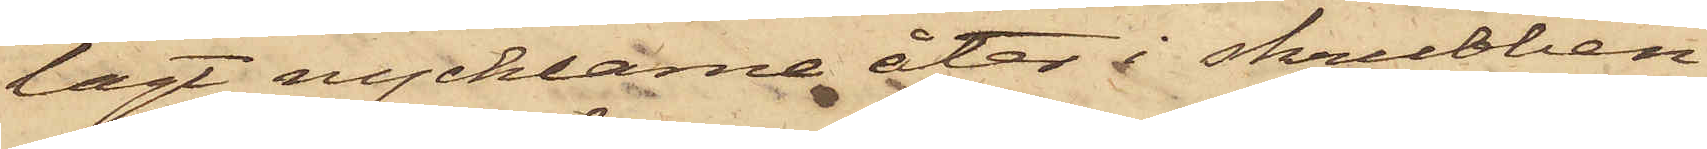lagt nycklarne åter i skrubben,
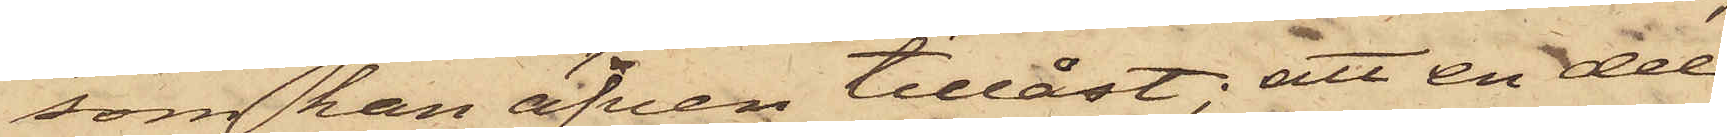som han äfven tillåst; att en del
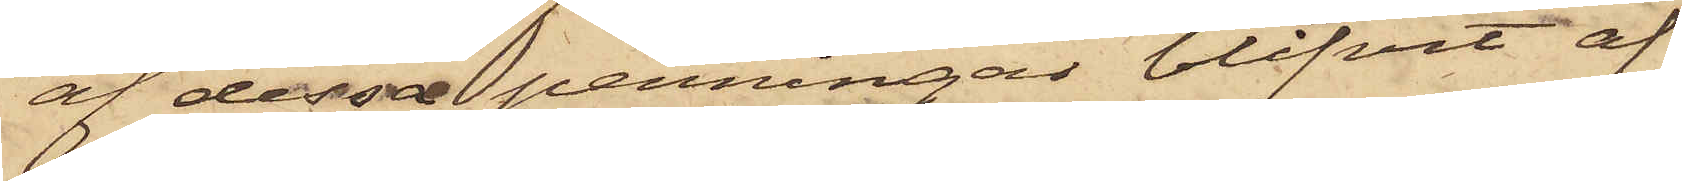af dessa penningar blifvit af
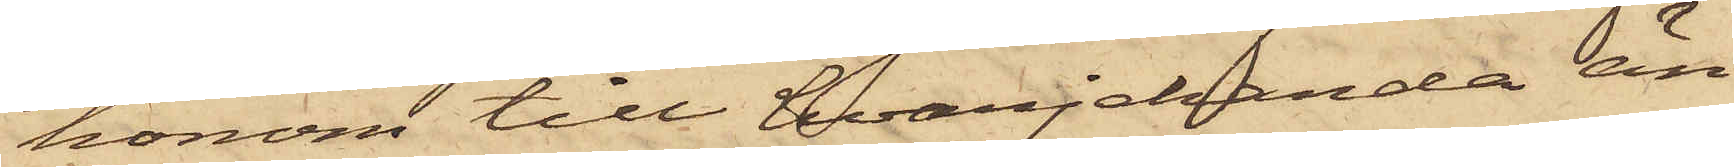honom till hvarjelanda än¬
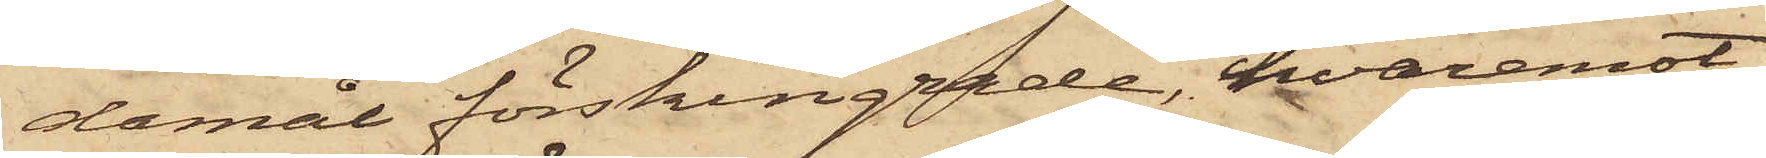damål förskingrade, hvaremot
